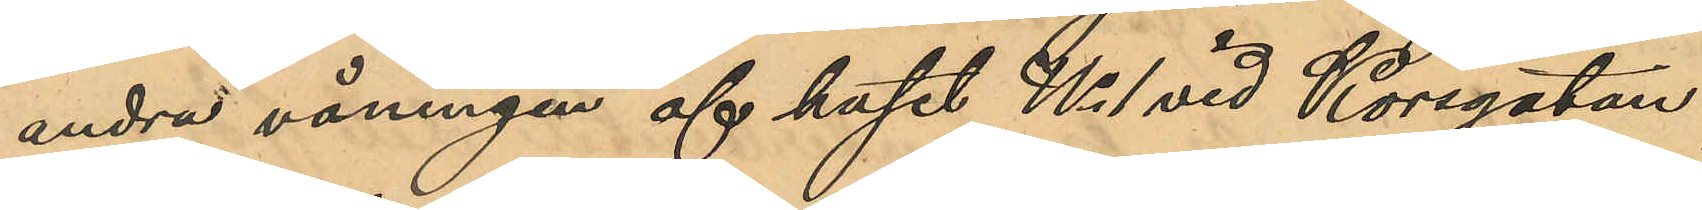andra våningen af kafet No 1 vid Korsgatan,
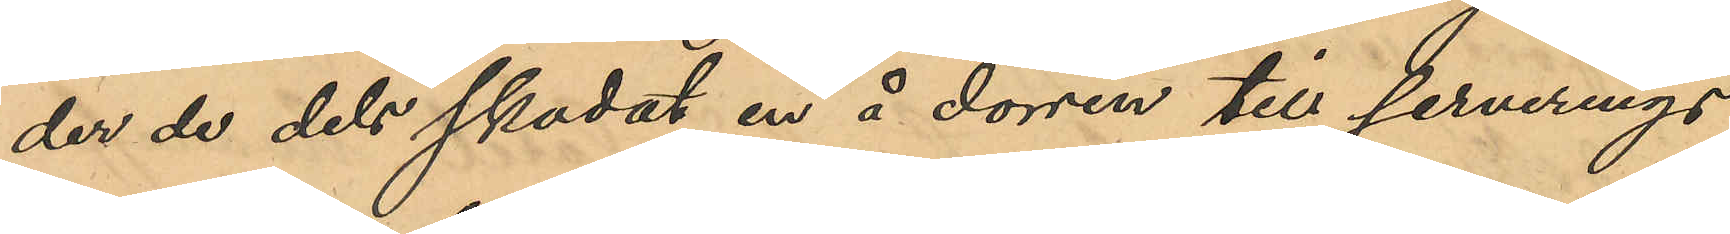der de dels skadat en å dörren till serverings¬
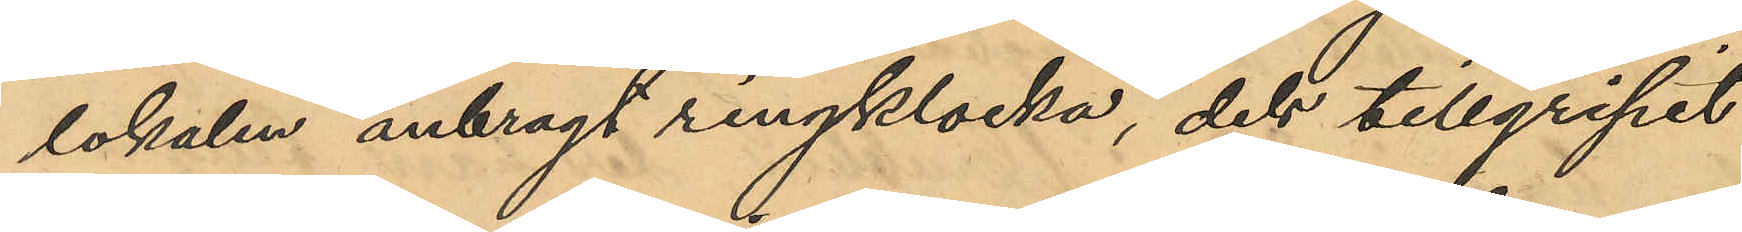lokalen anbragt ringklocka, dels tillgripit
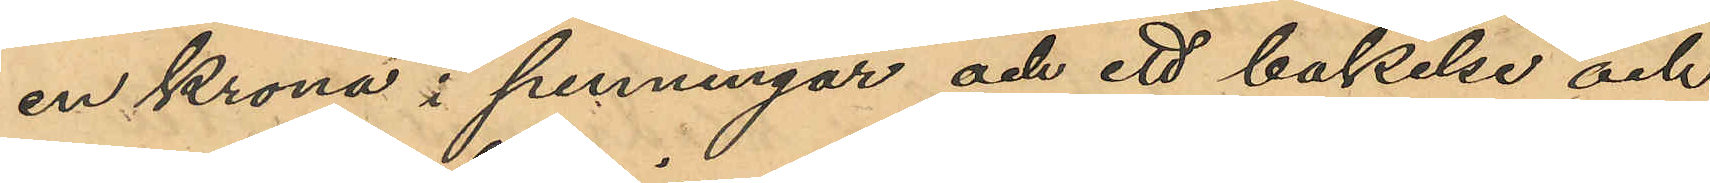en krona i penningar och ett bakelse och
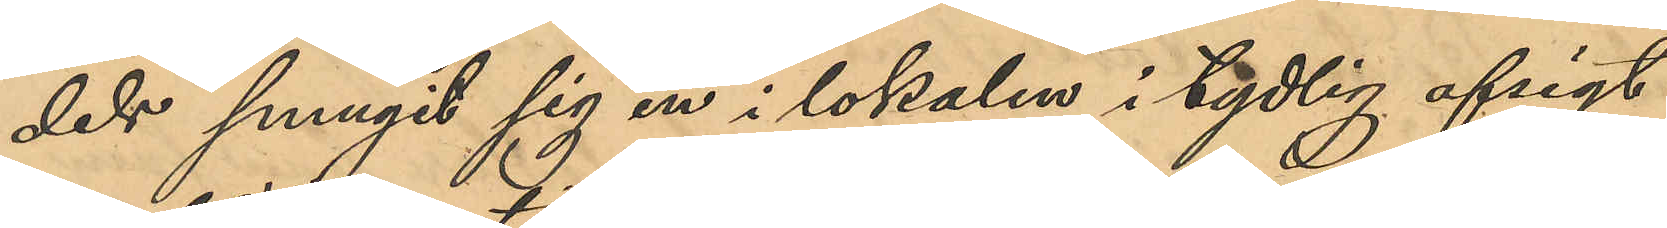dels sprungit sig in i lokalen i tydlig afsigt
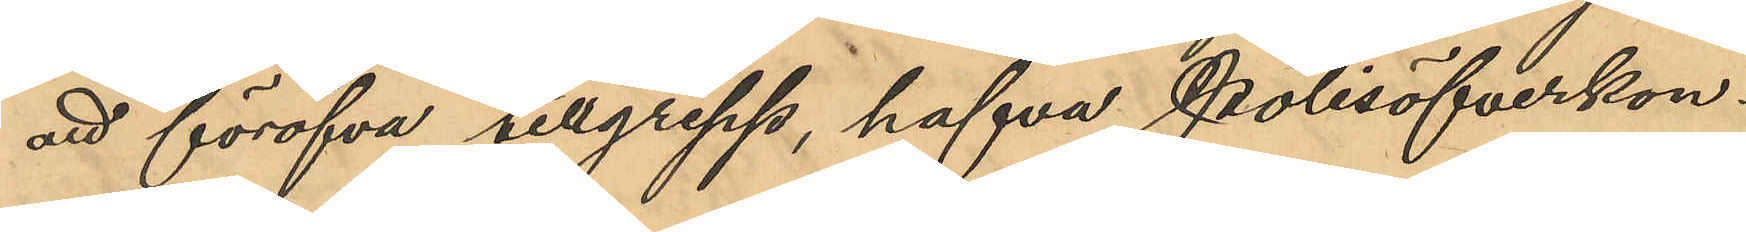att föröfva tillgrepp, hafva Polisöfverkon¬
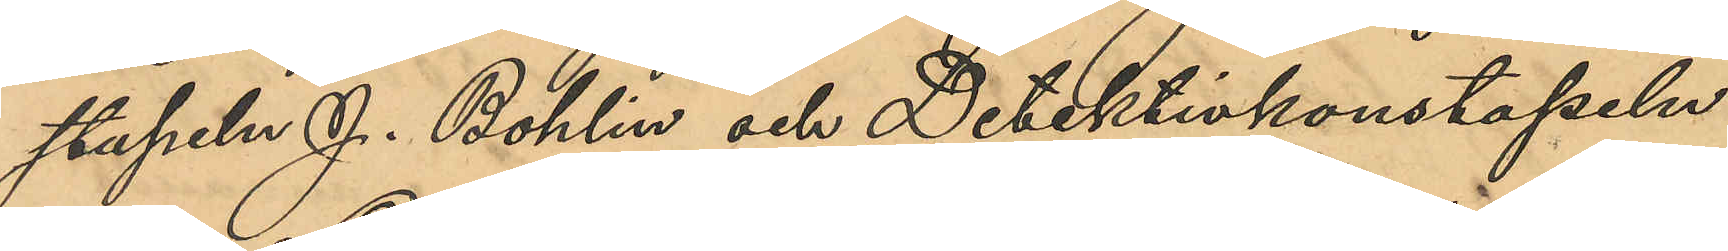stapeln J. Bohlin och Detektivkonstapeln
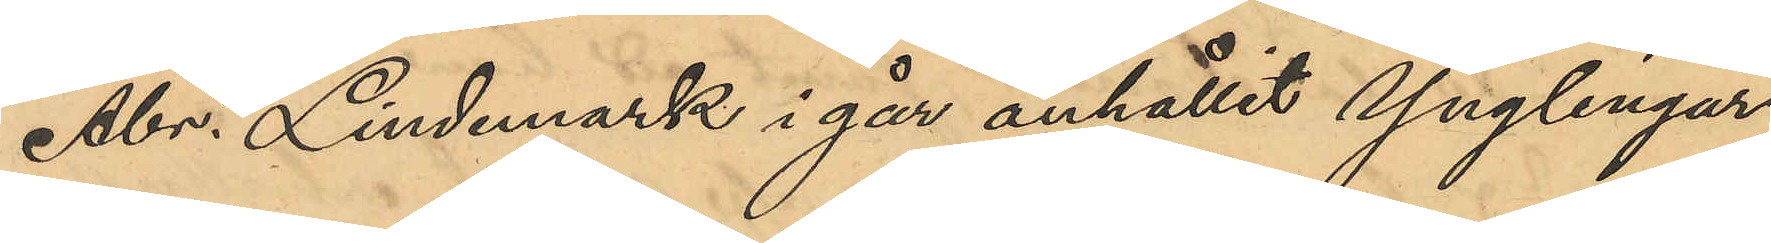Abr. Lindmark i går anhållit Ynglingar¬
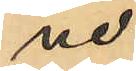ne:
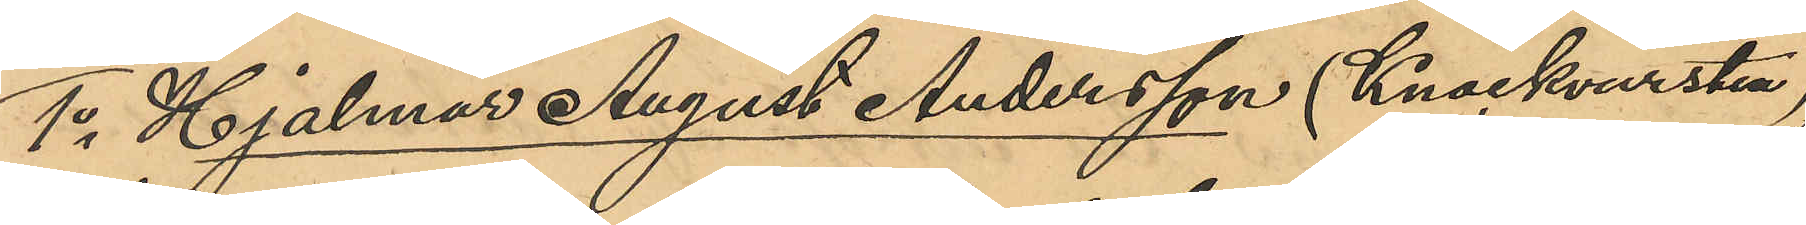1o Hjalmar August Andersson (Knackvursten),
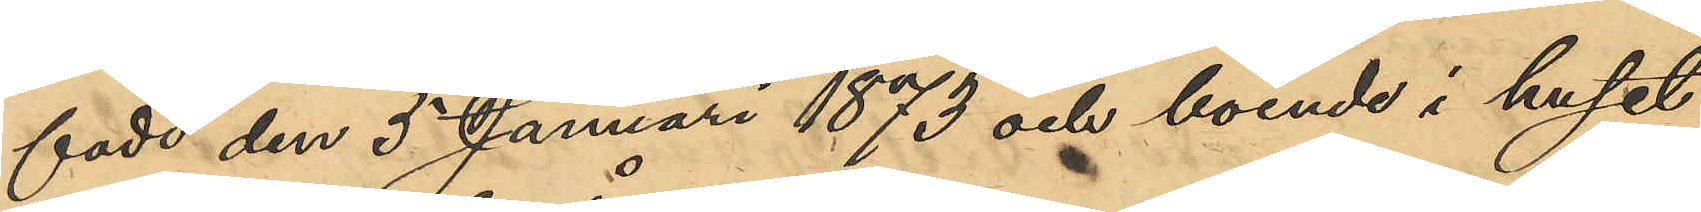född den 5 Januari 1873 och boende i huset
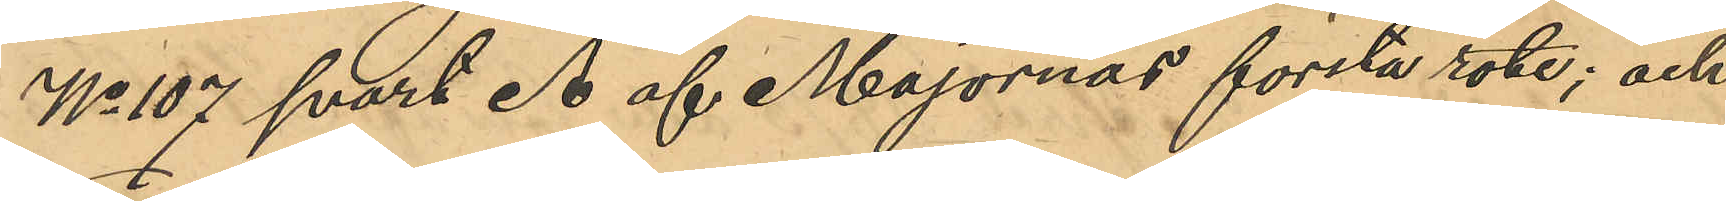No 107 svart Å af Majornas första rote; och
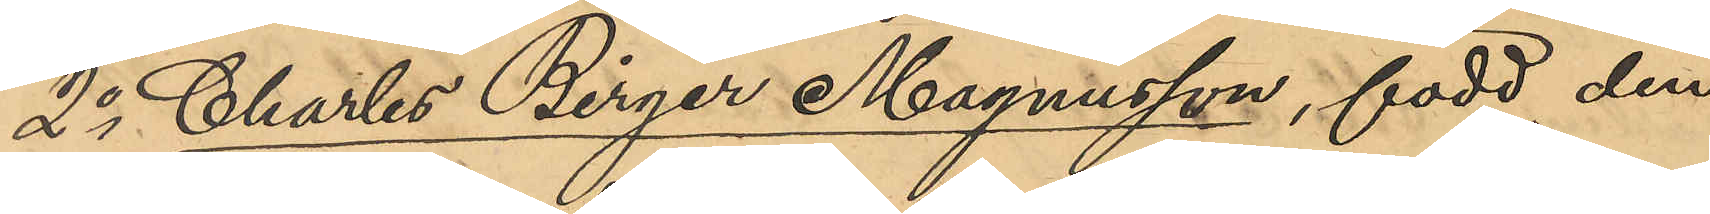2o Charles Birger Magnusson, född den
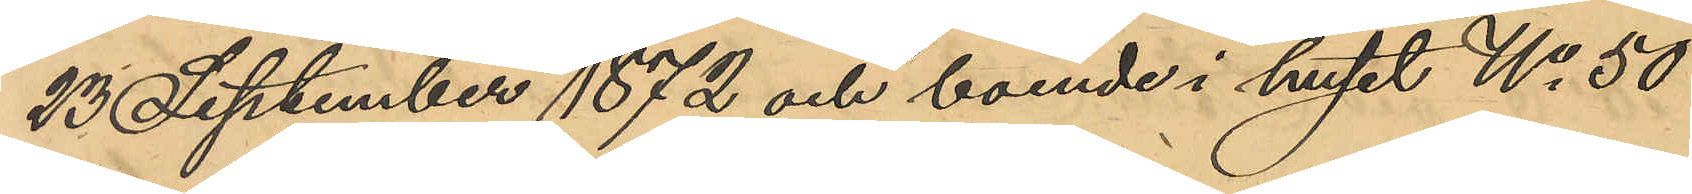23 September 1872 och boende i huset No 50
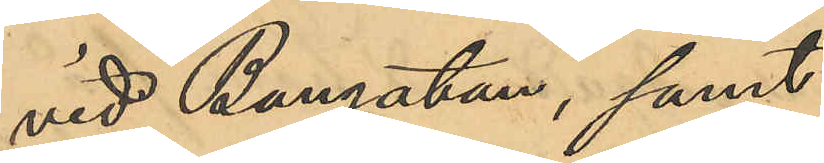vid Bangatan, samt
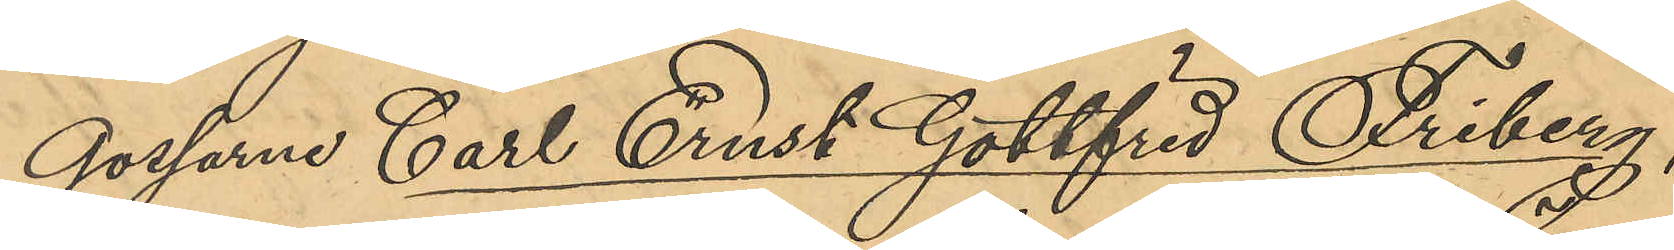gossarne Carl Ernst Gottfrid Friberg,
